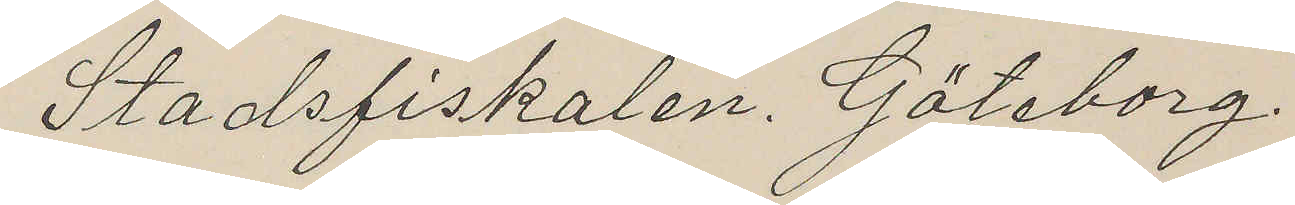Stadsfiskalen. Göteborg
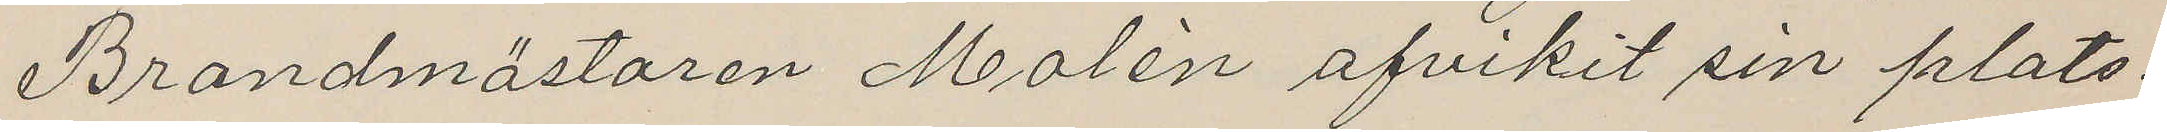Brandmästaren Molén afvikit sin plats.
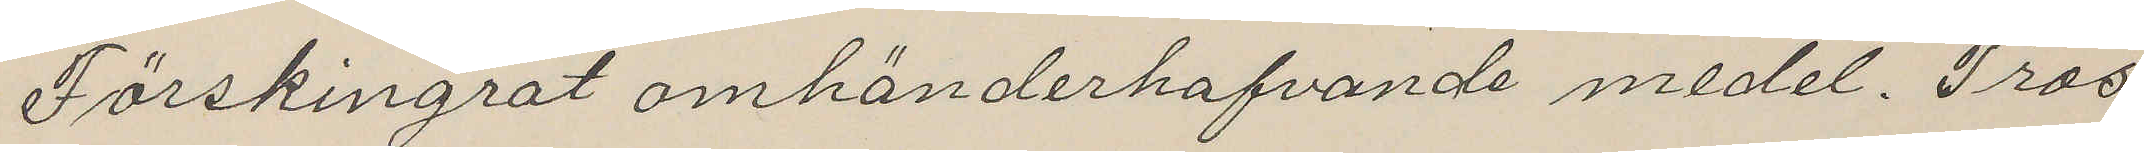Förskingrat omhänderhafvande medel. Tros
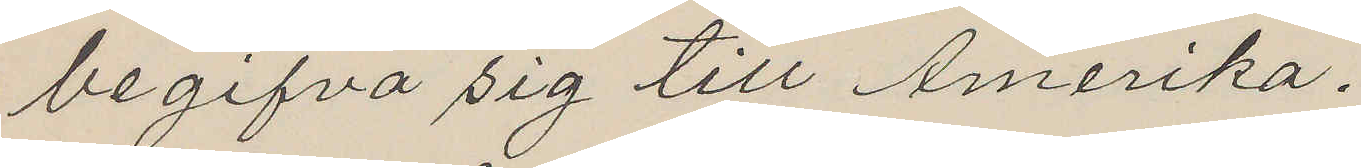begifva sig till Amerika.
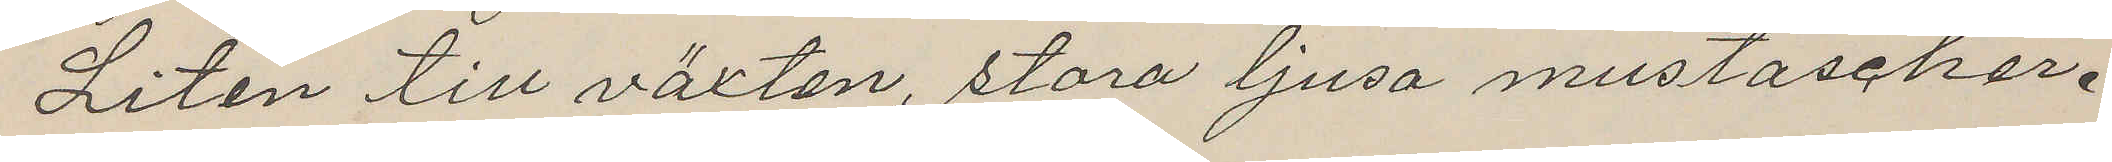Liten till växten, stora ljusa mustascher.
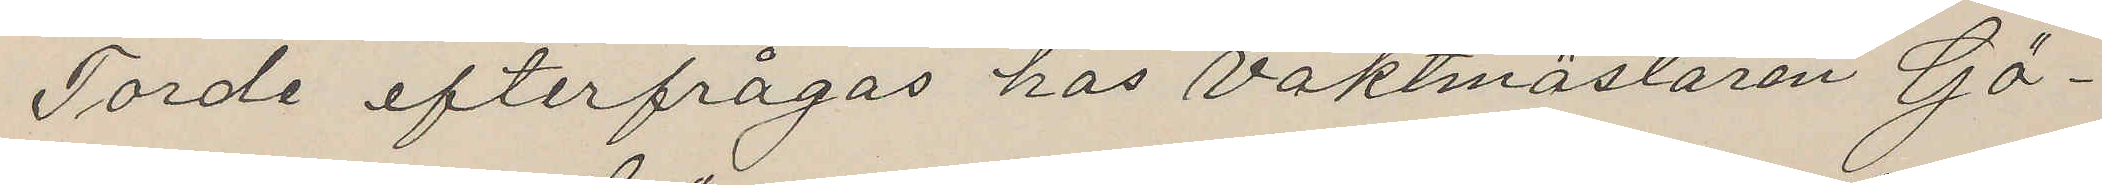Torde efterfrågas hos Vaktmästaren Gö¬
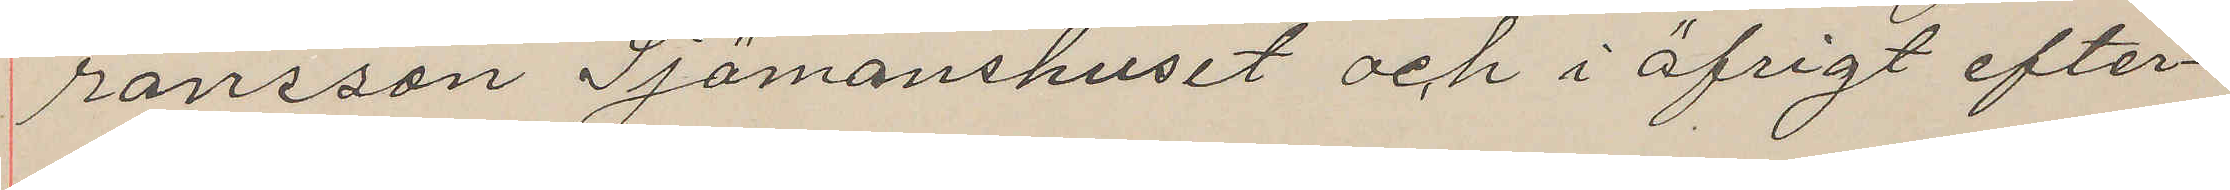ransson Sjömanshuset och i öfrigt efter¬
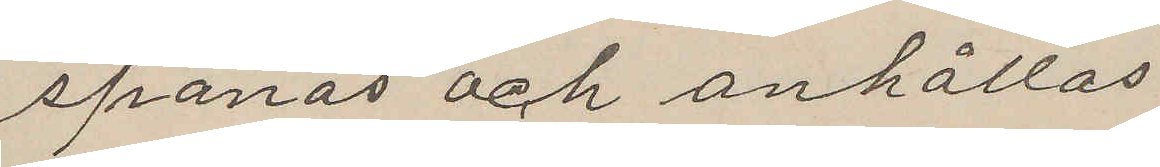spanas och anhållas
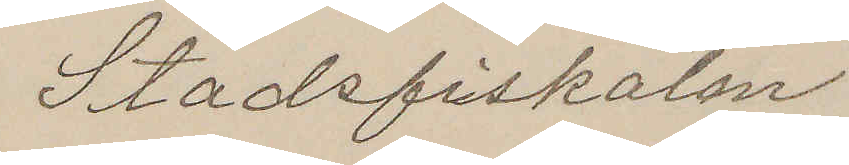Stadsfiskalen
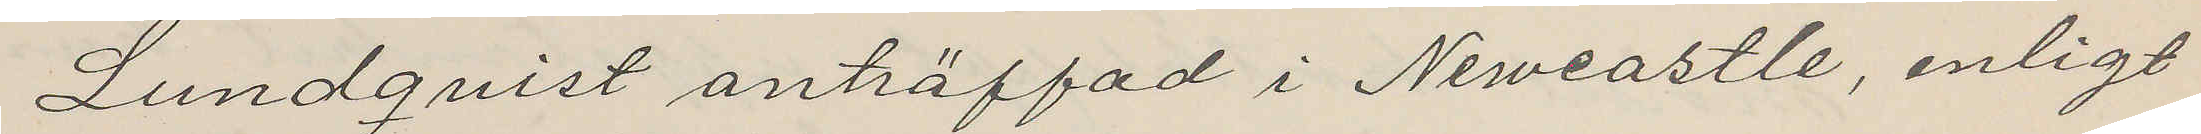Lundquist anträffad i Newcastle, enligt
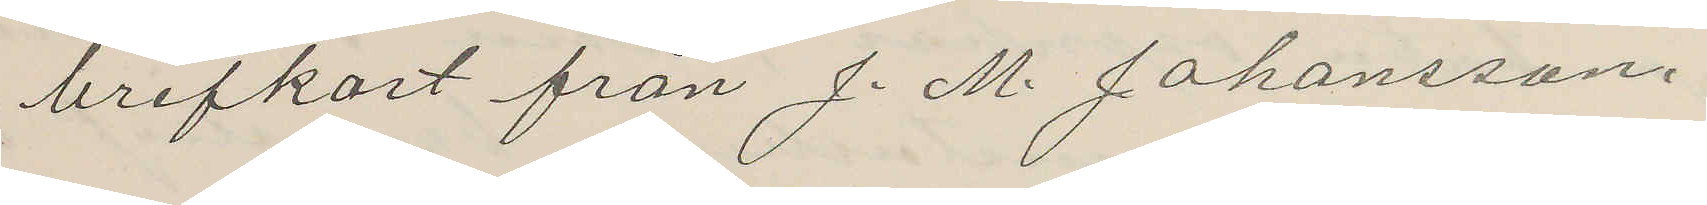brefkort från J. M. Johansson.
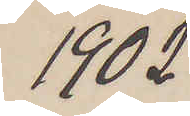1902
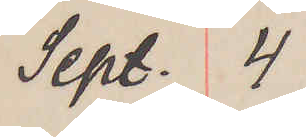Sept. 4
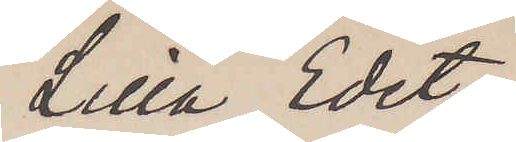Lilla Edet.
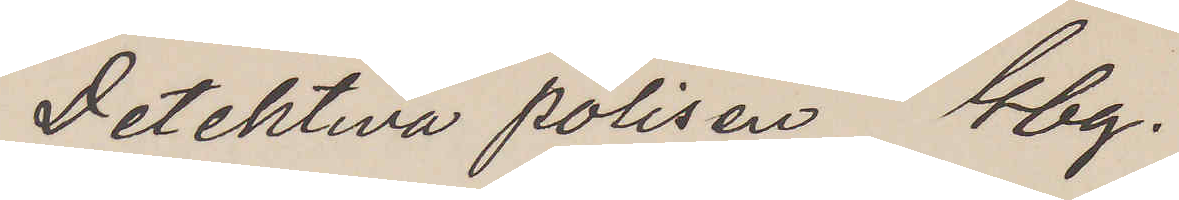Detektiva polisen Gbg.
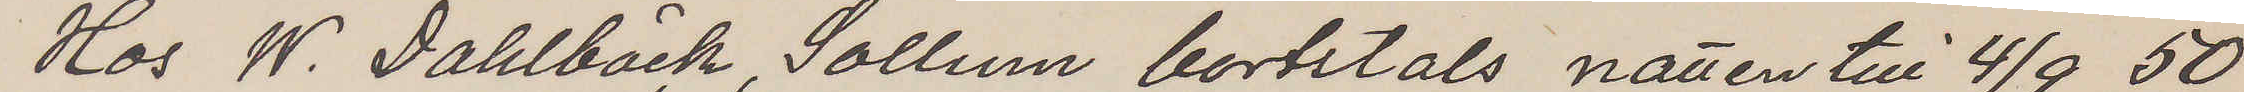Hos W. Dahlbäck, Sollum bortstals natten till 4/9 50
